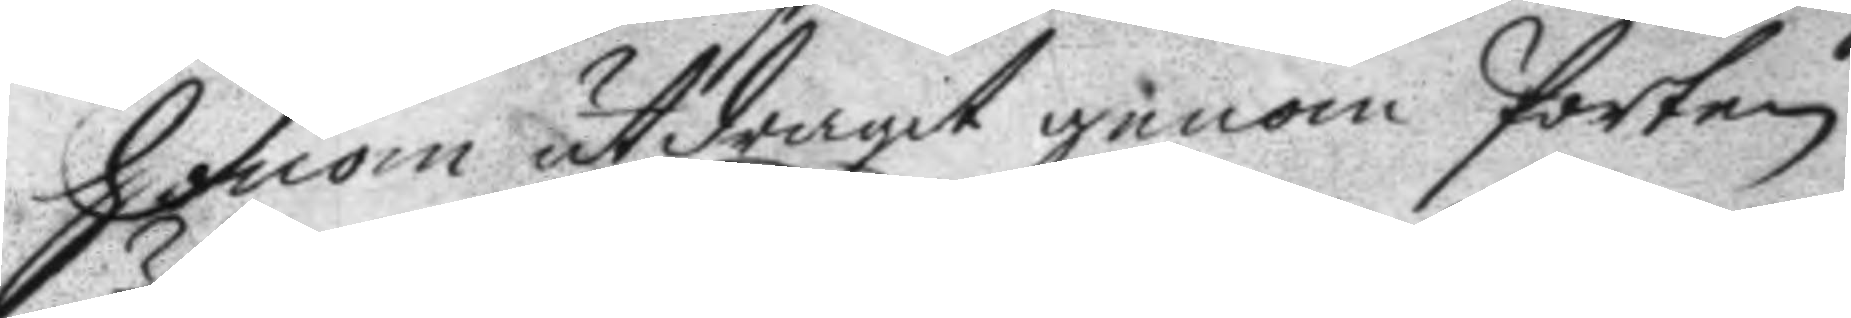Honom utdragit genom Porten
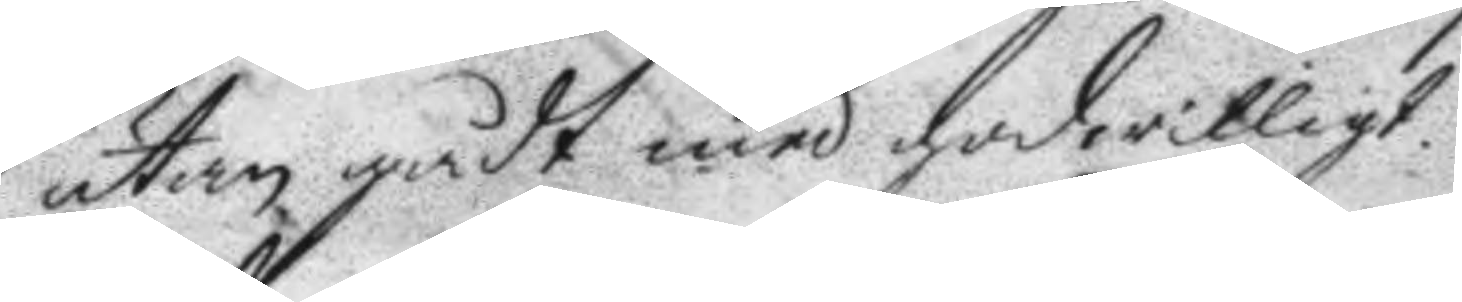utan gådt med godwilligt.
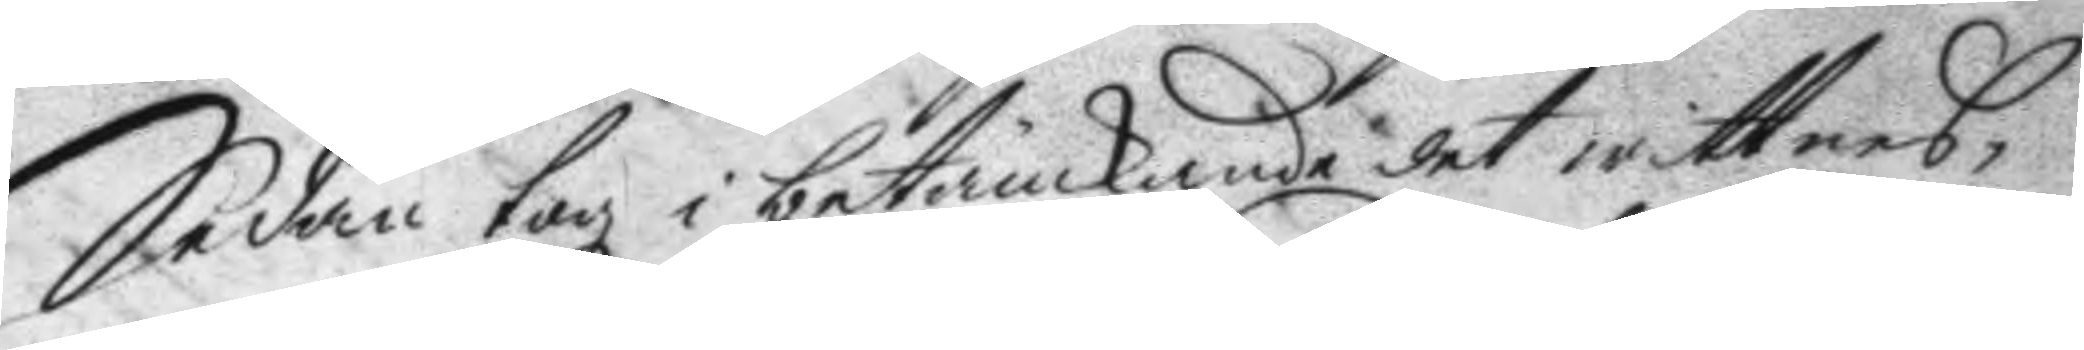Sedan togz i betänkande det wittnes¬
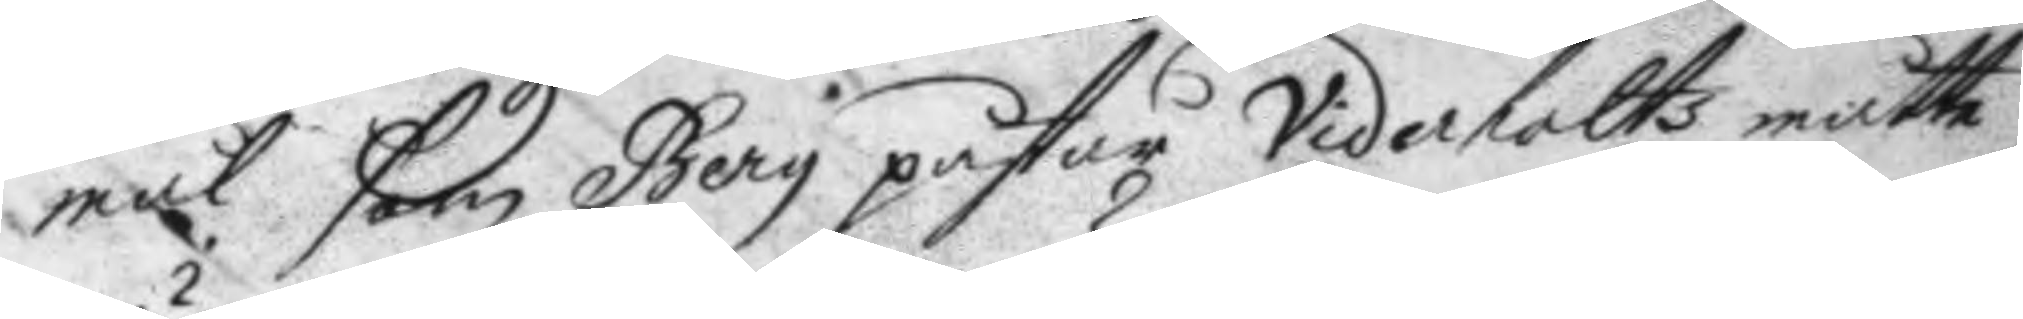mål som Berg påstår Viderholts måtte
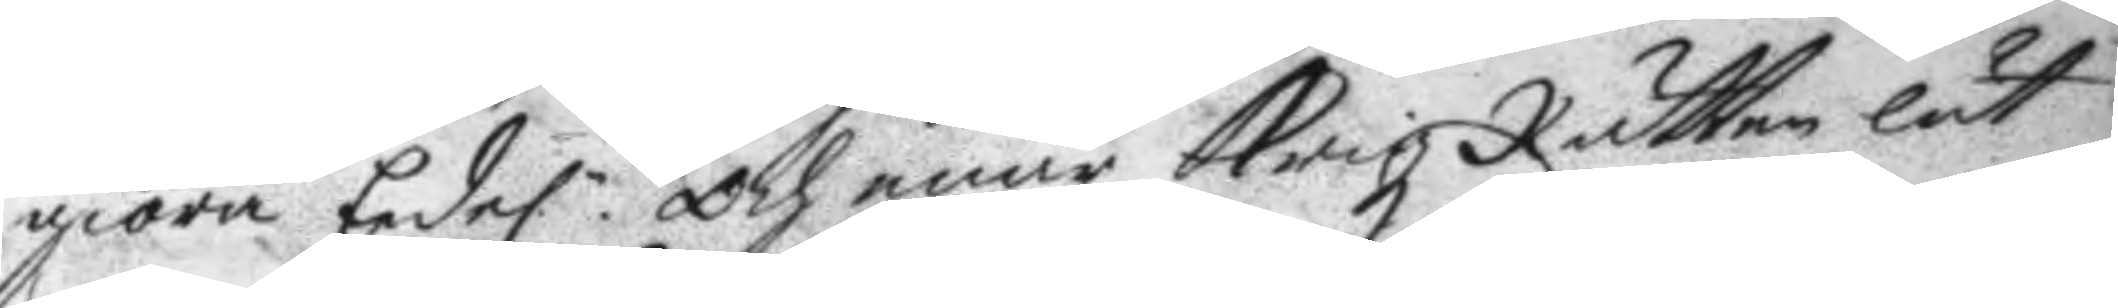giöra Eedel:n Och enär Krigz Rätten lät
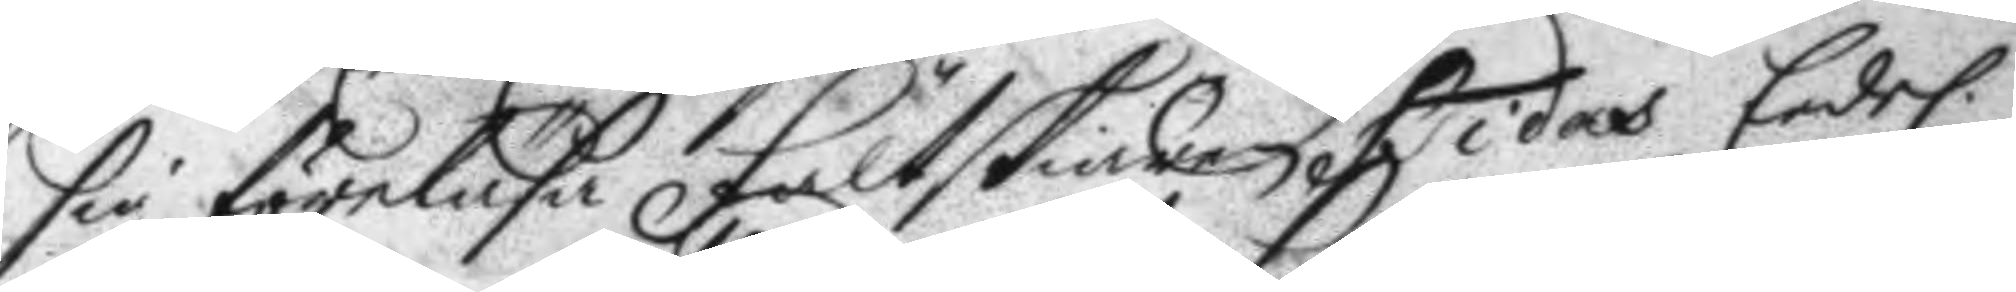sig föreläsa Fältskiären Hidas Eedel. 
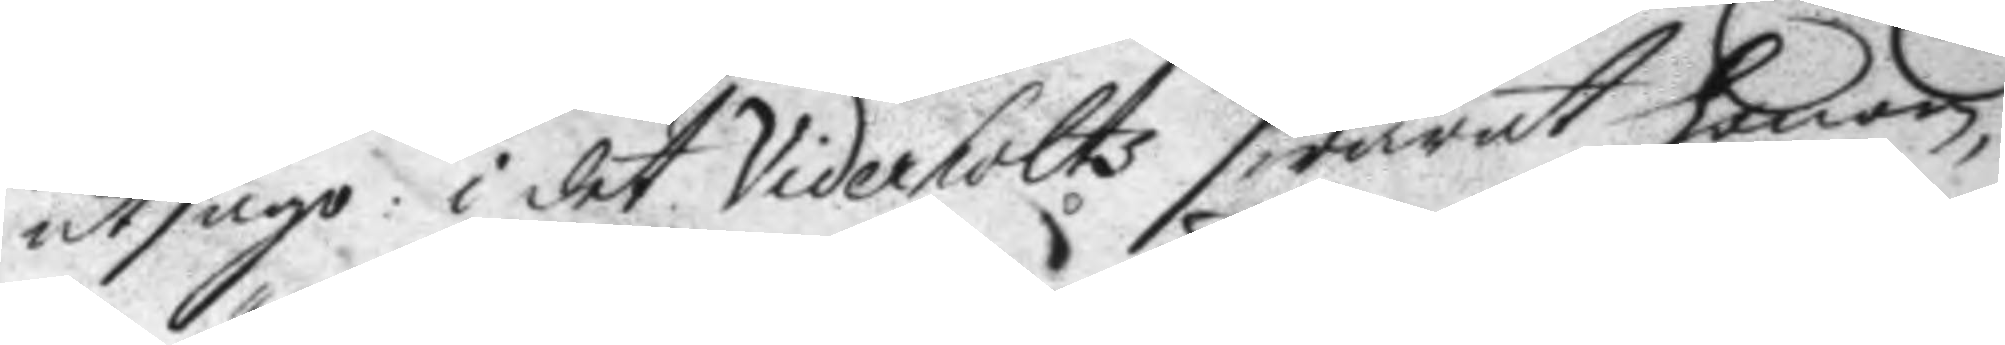utsago: i det Viderholts swarat honom,
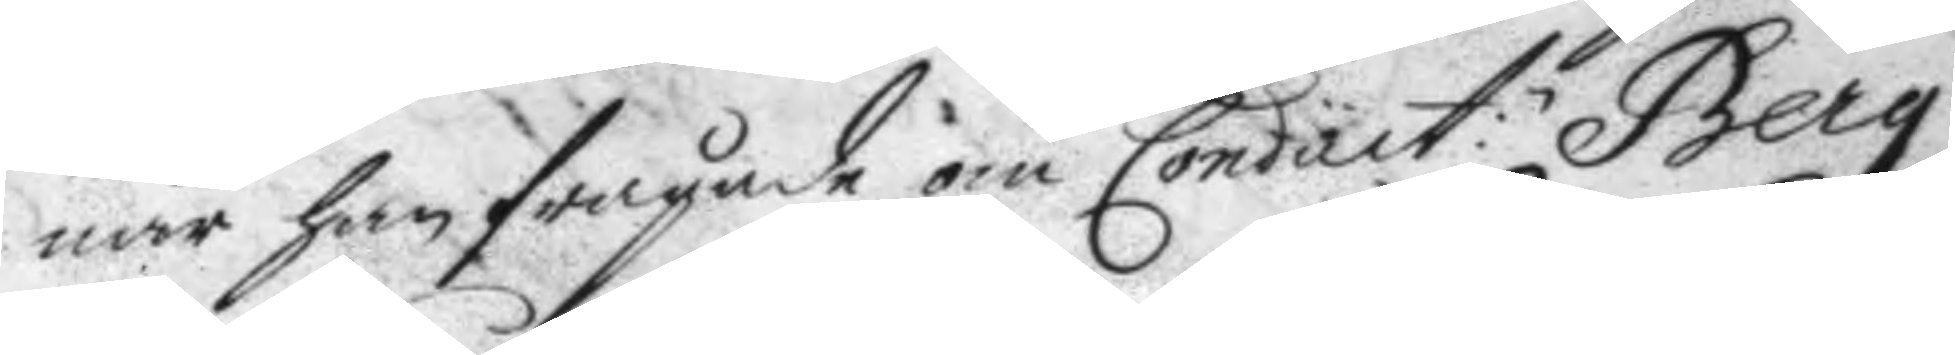när han frågade om Condact:n Berg 
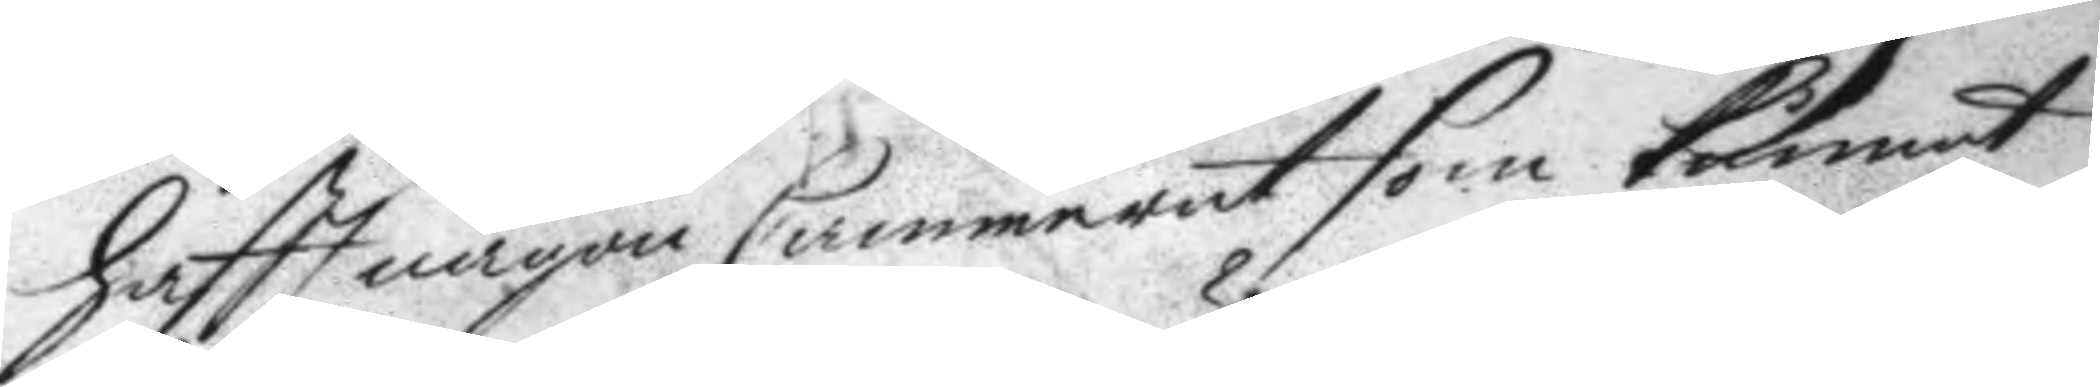hafft någon Cammerat som kunnat
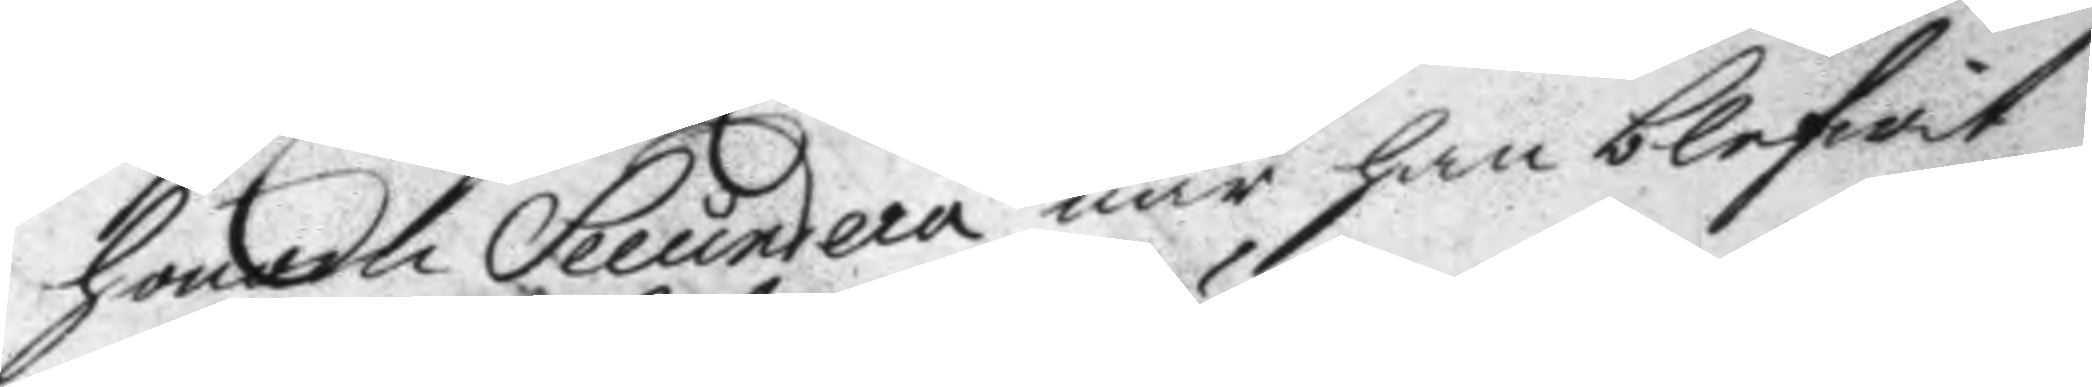honom Secundera när han blifwit
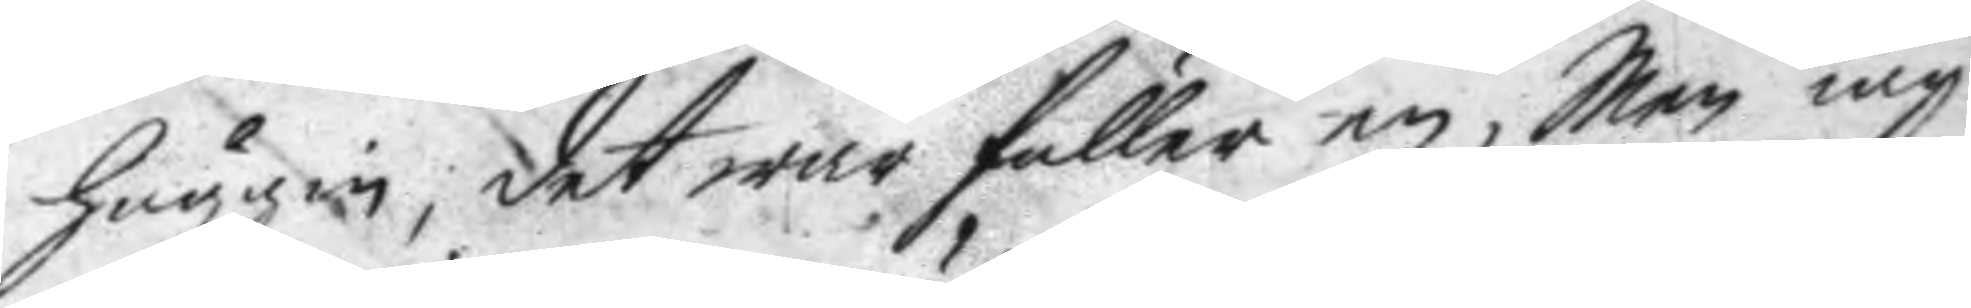huggin, det war fuller en, Men iag
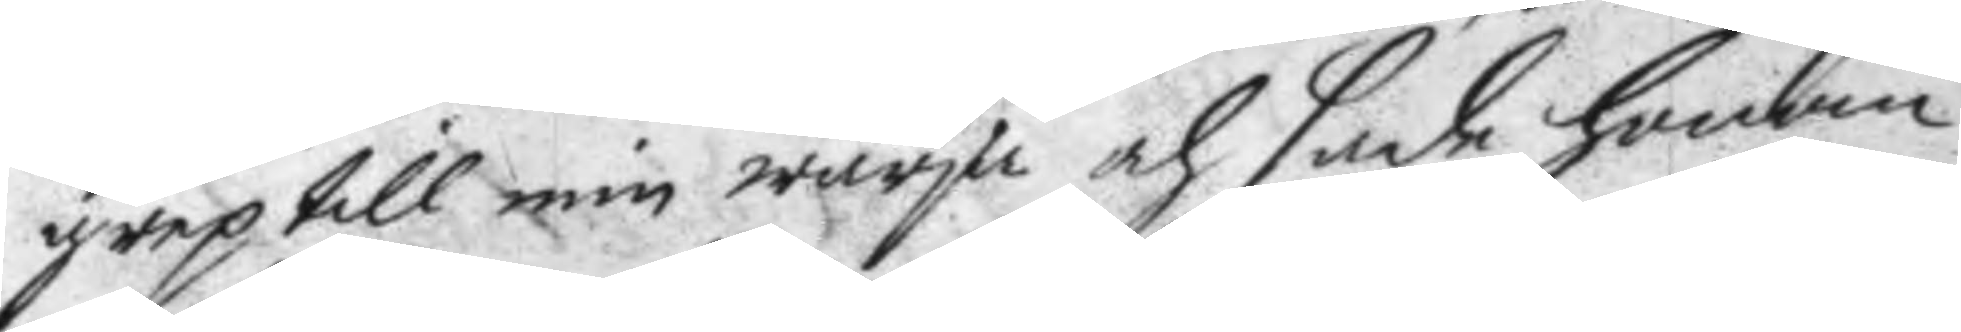grep till min warja och sade honom
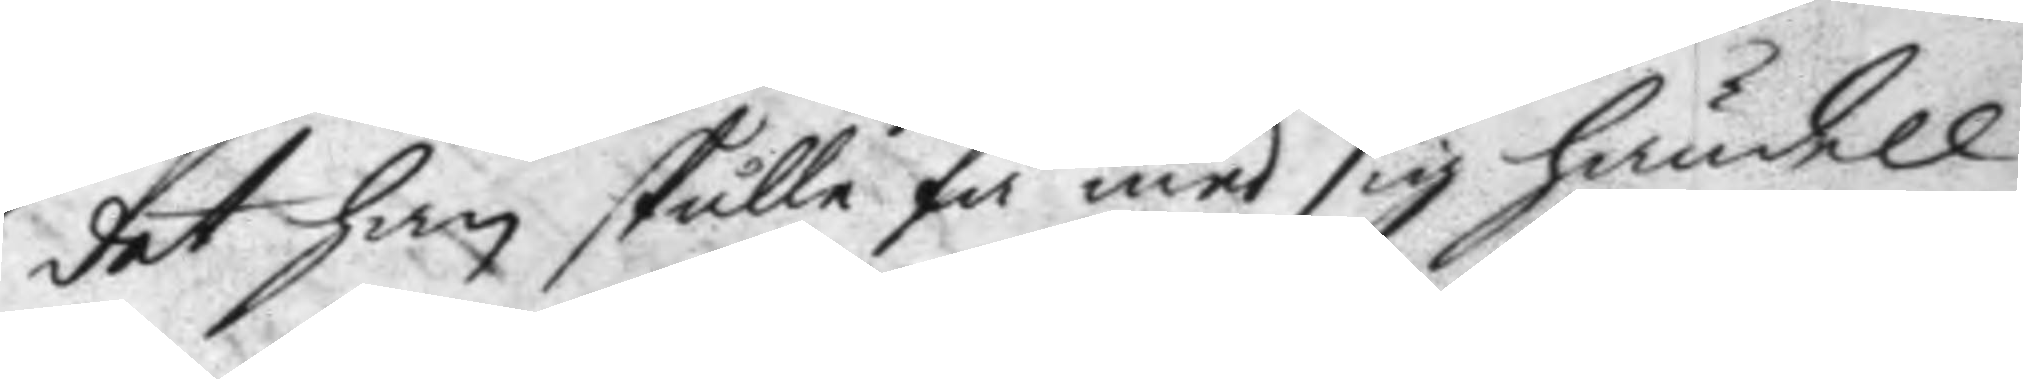det han skulle få med sig händell
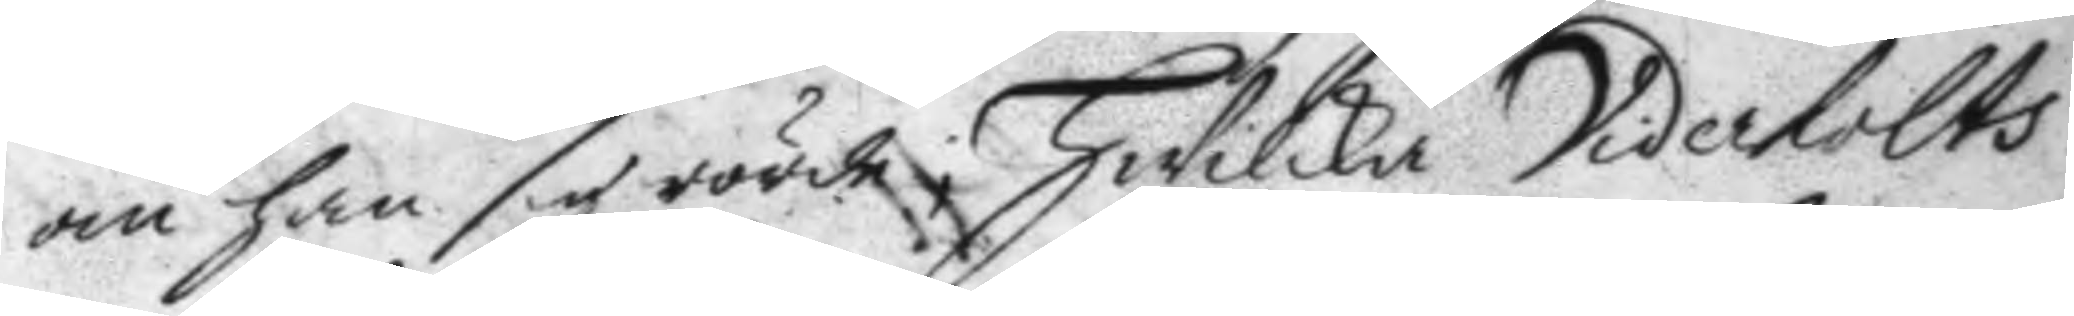om han sig rörde; Hwilka Viderholts
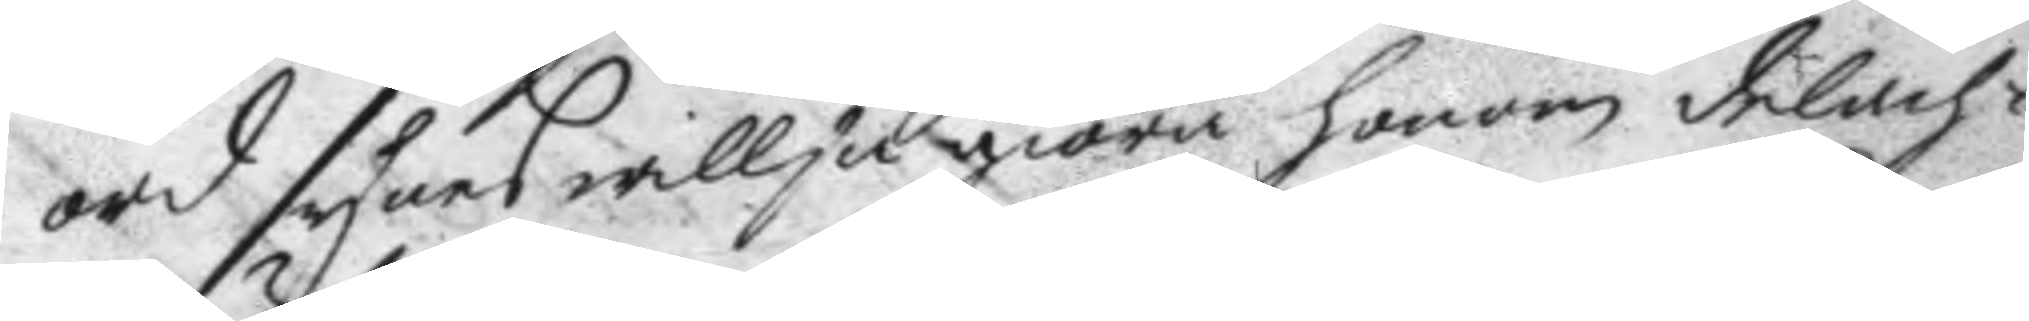ord synes willja giöra honom delach¬
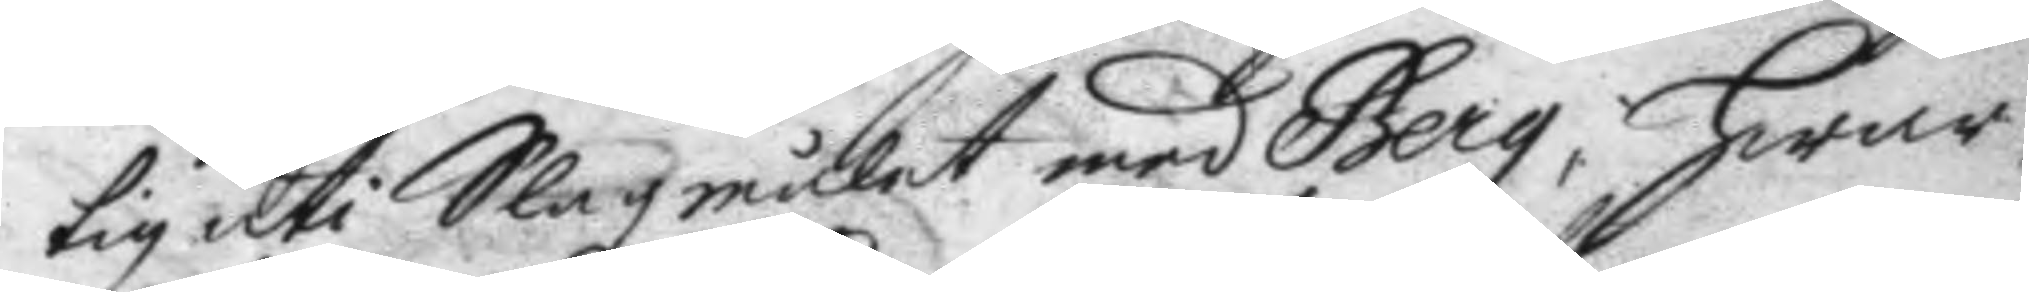tig uti Slagmålet med Berg, hwar
